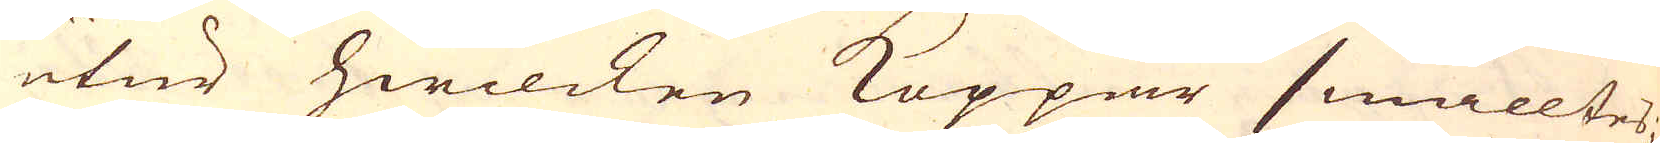utur hwilcken Koppar smälltes;
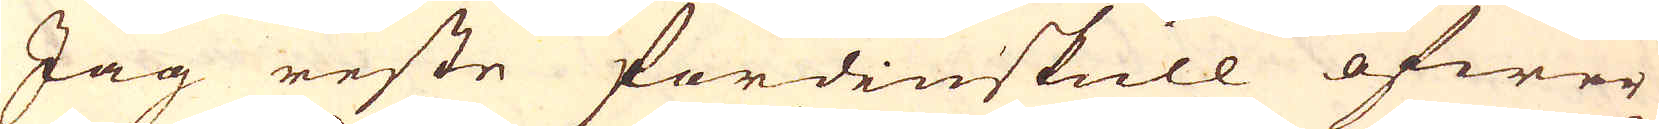Jag reste fördinskull öfwer
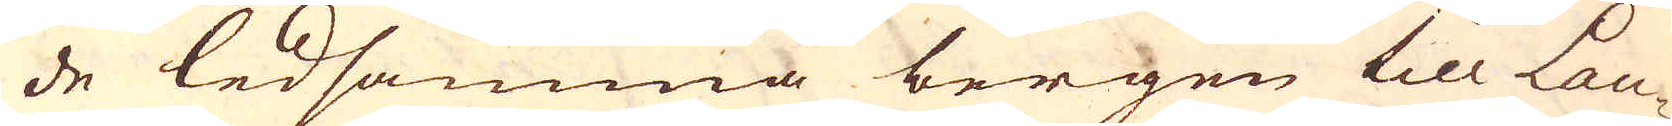de ledsamma bergen till Lau-
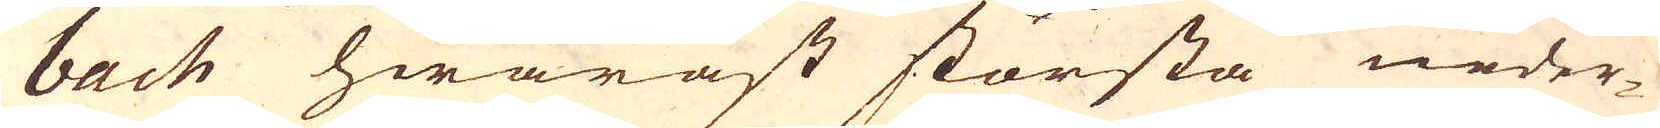bach hwaräst största neder-
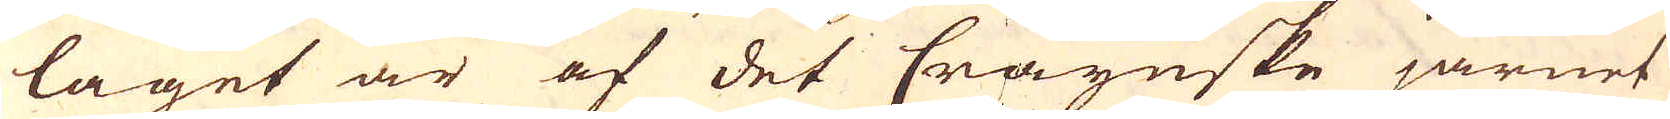laget är af det Craynske järnet
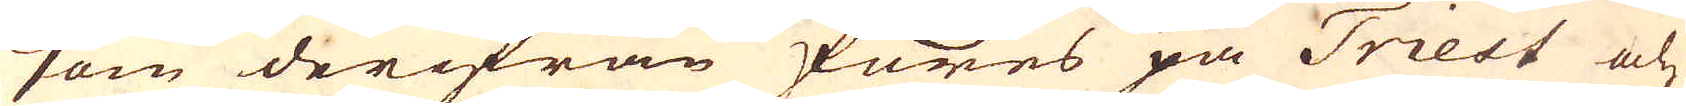som derifrån föres på Triest och
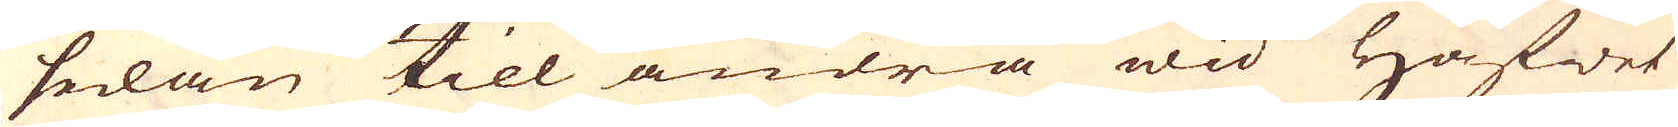sedan till andra wid Hafwet
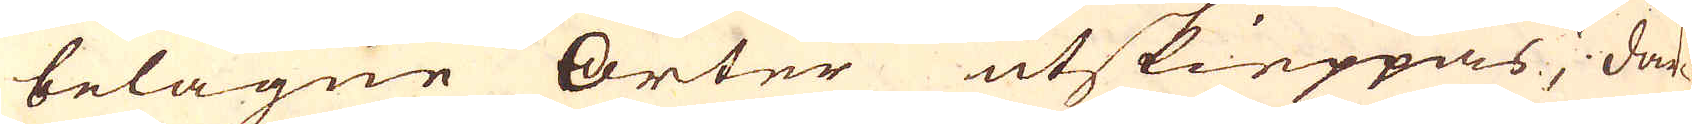belägne Orter utskieppas; där-
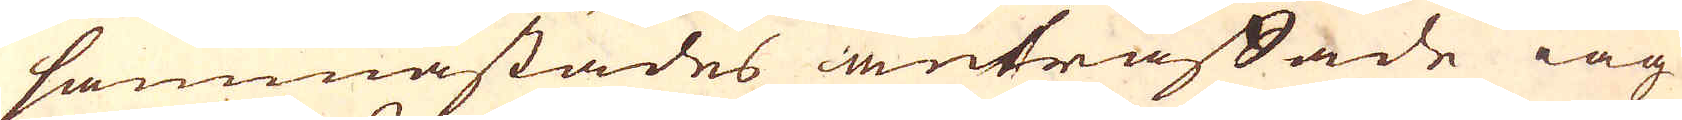sammastädes anträffade iag
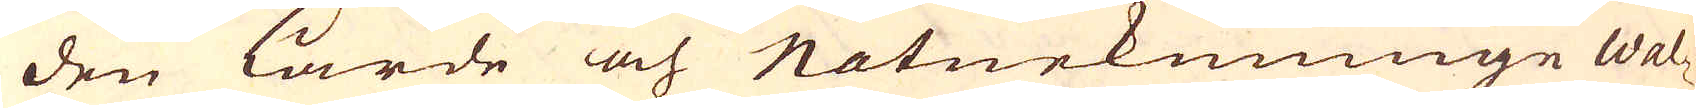den lärde och Naturkunninge Wal-
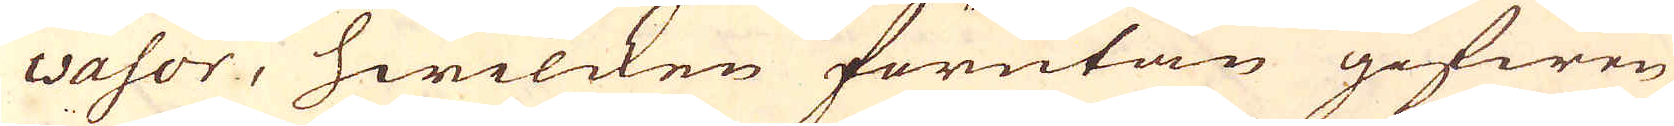wasor, hwilcken förutan gifwen
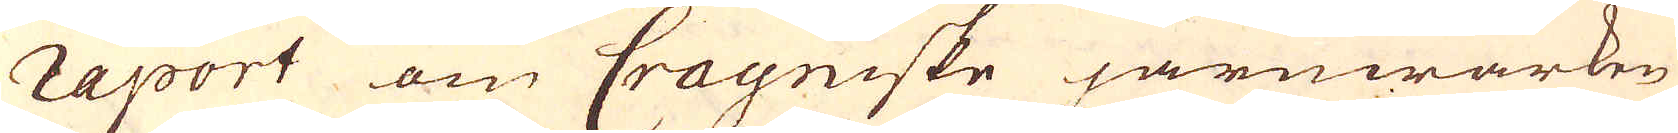raport om Crayniske järnwärken
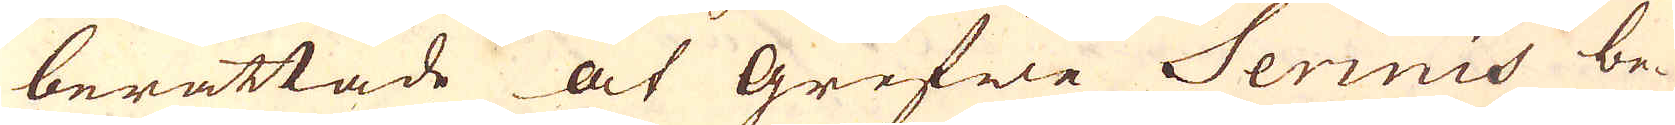berättade at grefwe Serinis be-
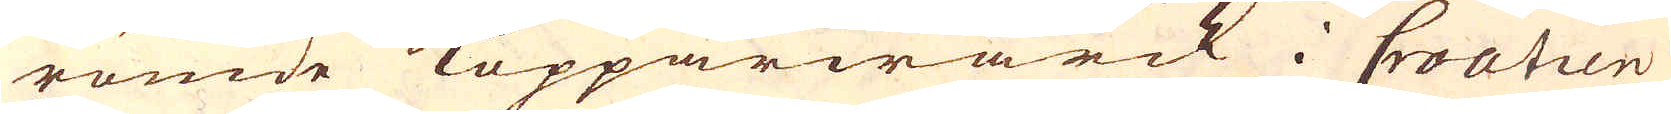römde Kopparwärck i Croatien
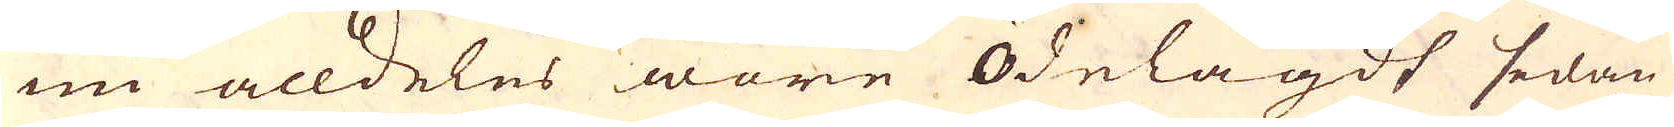nu alldeles wore ödelagdt sedan
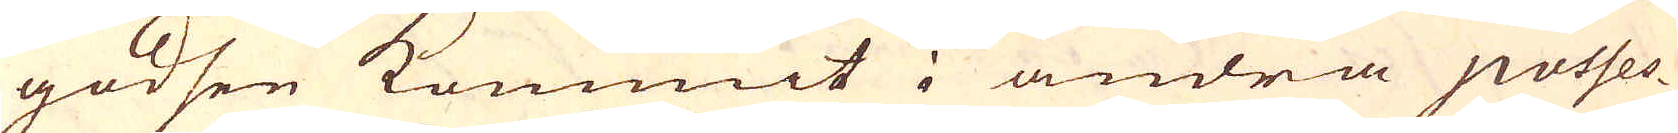godsen kommit i andra posses-
